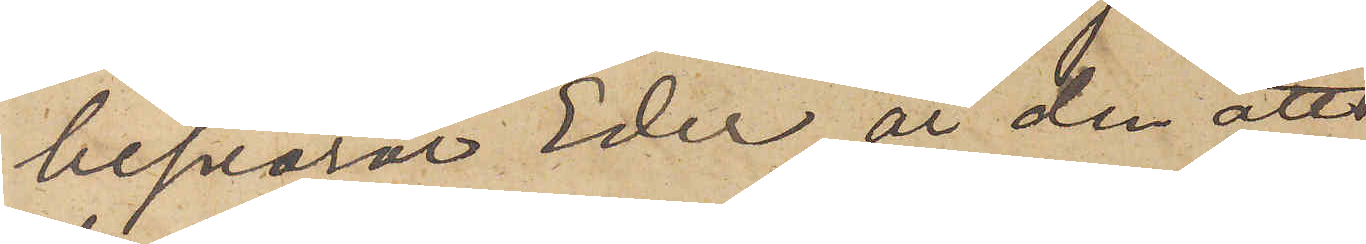besvärar Eder, är den att
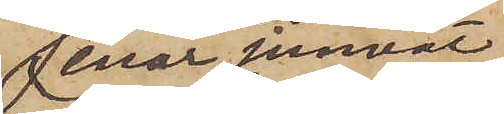enär jemväl
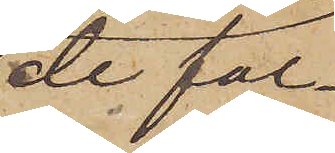de fal¬
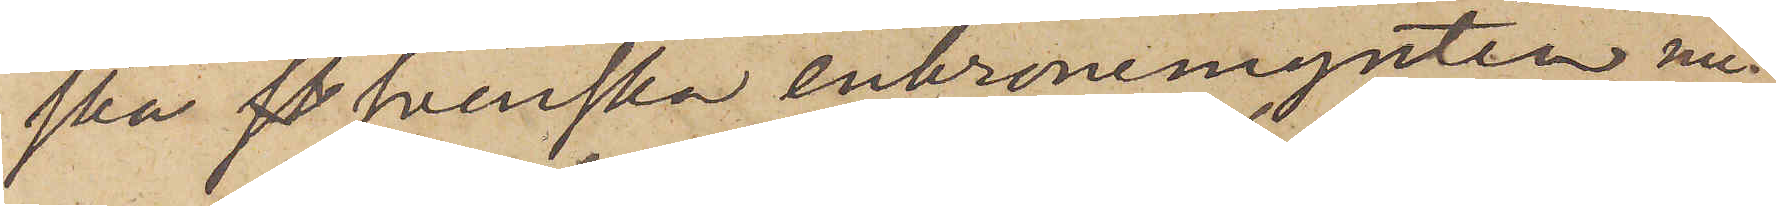ska  svenska enkronemynten nu¬
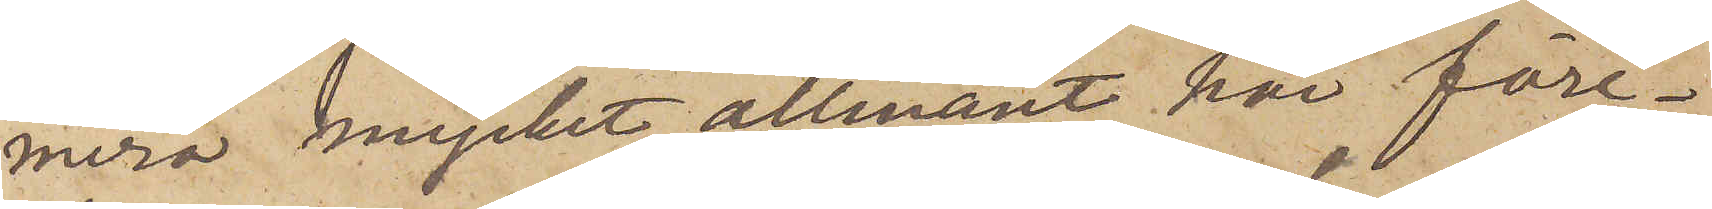mera mycket allmänt här före¬
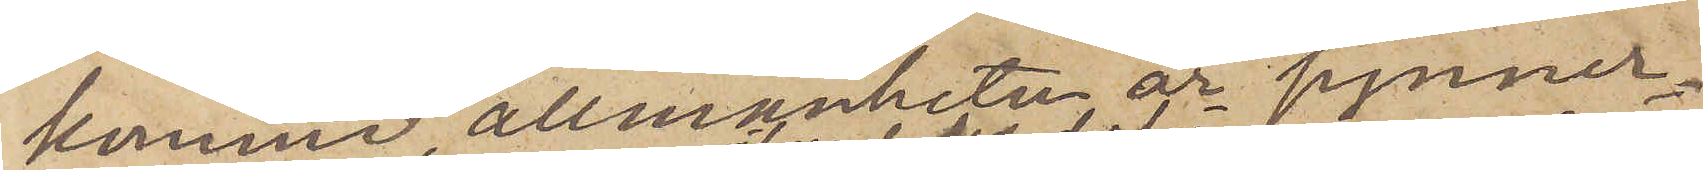kommer, allmänheten är synner¬
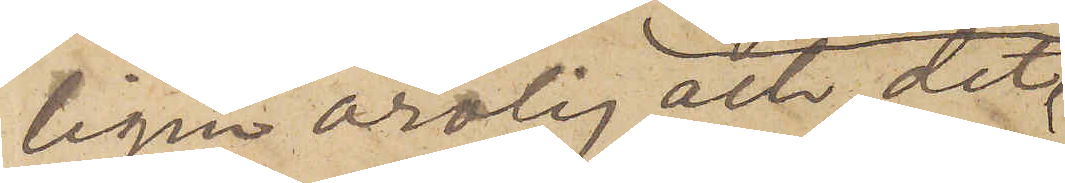ligen orolig och det
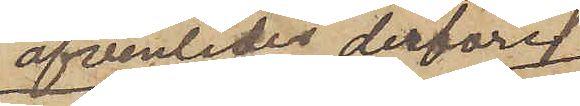äfvenledes derföre
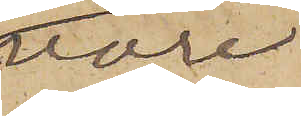vore
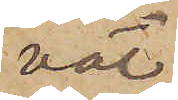väl
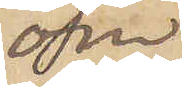om
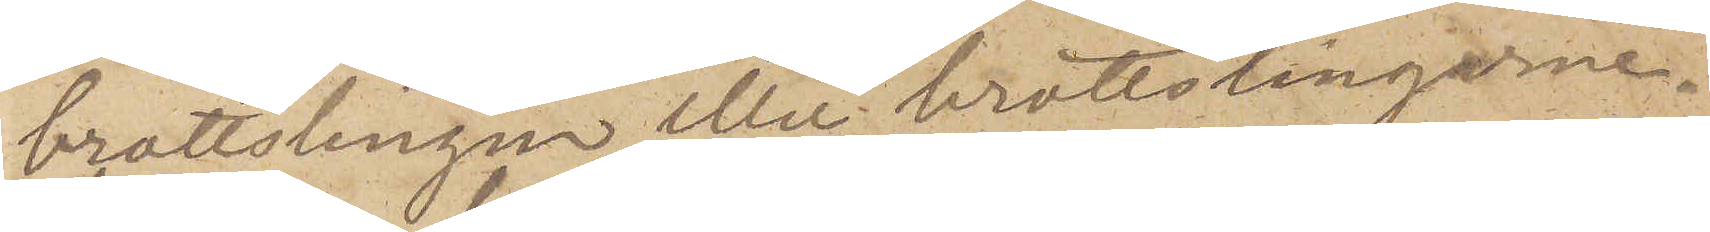brottslingen eller brottslingarne
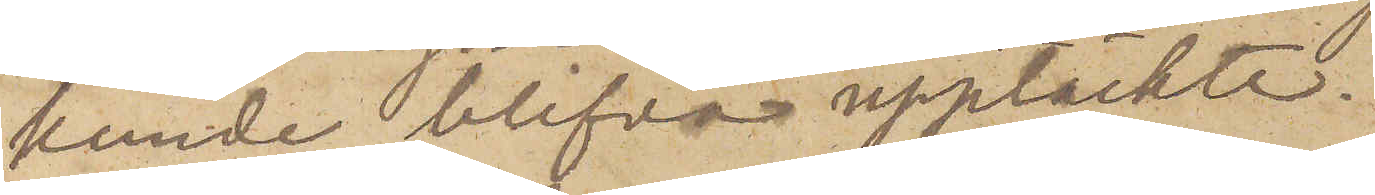kunde blifva upptäckte.
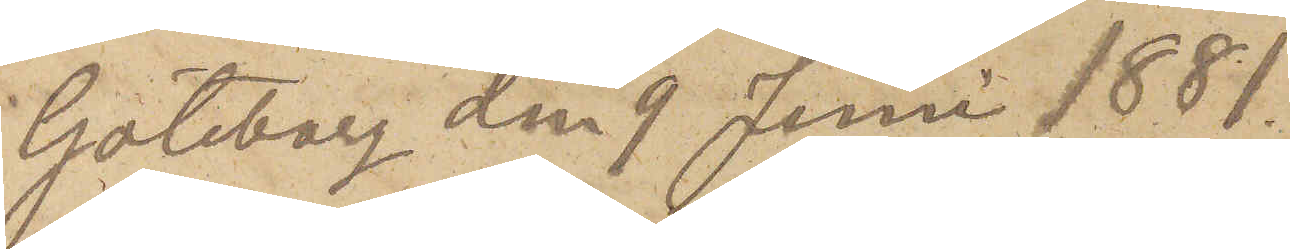Göteborg den 9 Juni 1881.
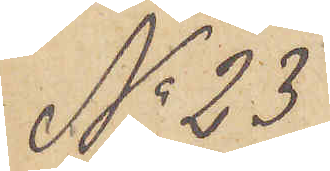No 23
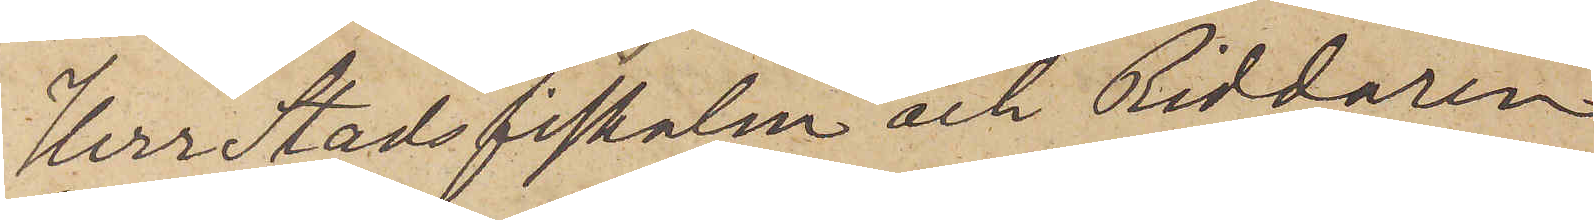Herr Stadsfiskalen och Riddaren
